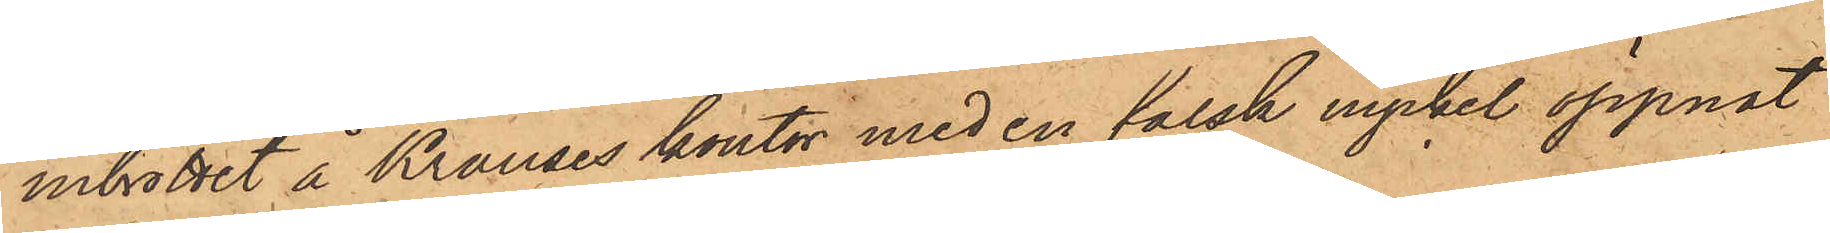inbrottet å Krauses kontor med en falsk nyckel öppnat
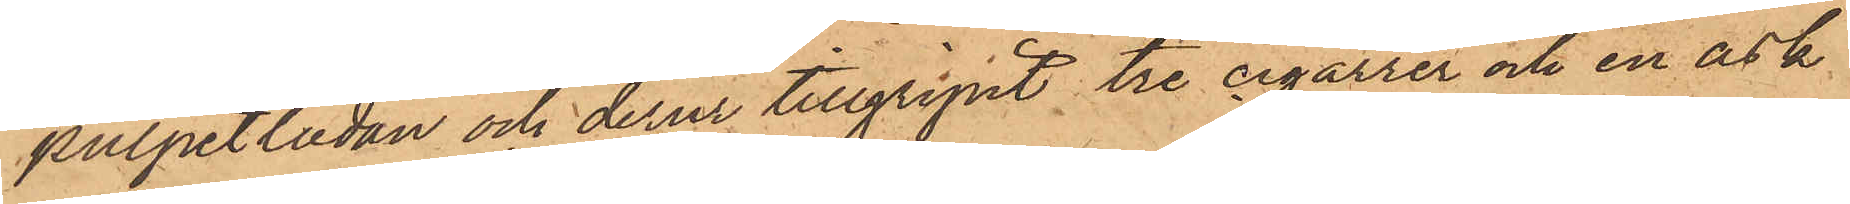pulpetlådan och derur tillgripit tre cigarrer och en ask
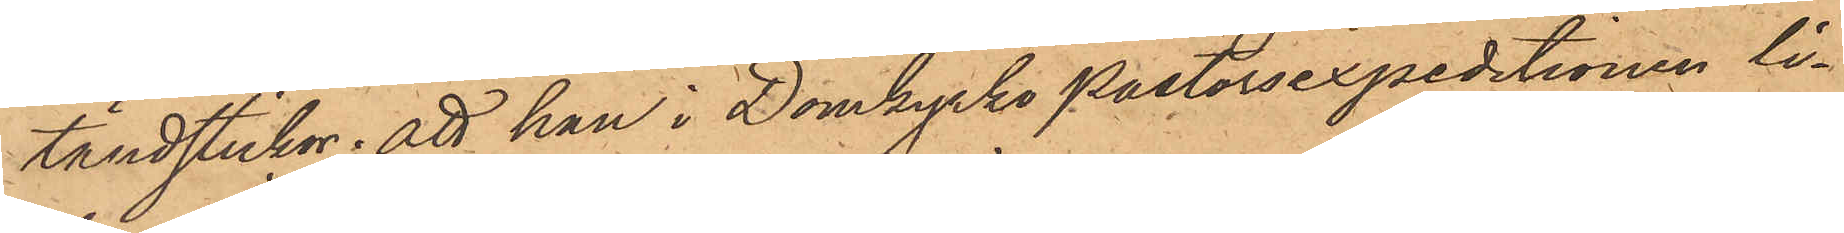tändstickor; att han i Domkyrko pastorsexpeditionen li¬
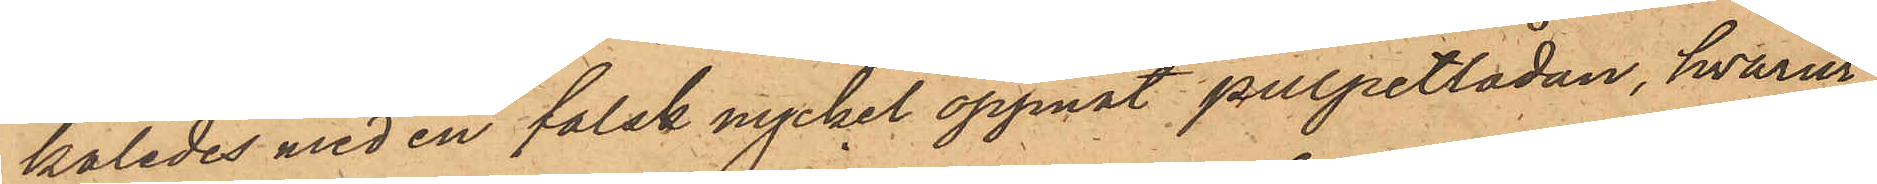kaledes med en falsk nyckel öppnat pulpetlådan, hvarur
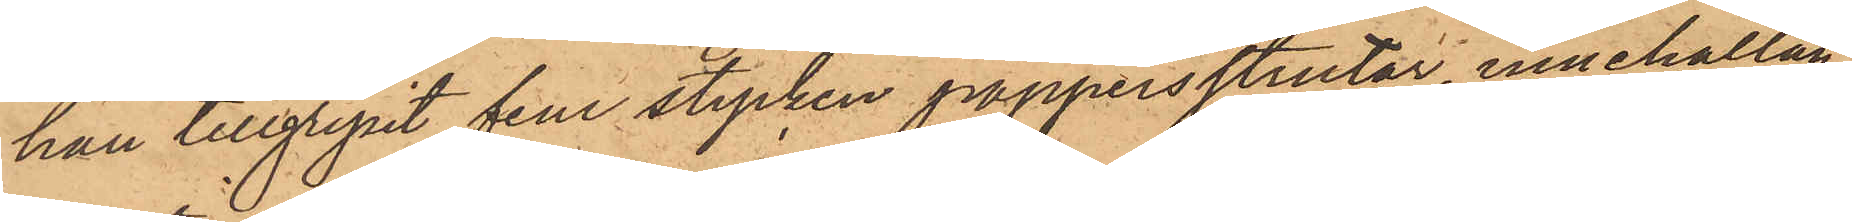han tillgripit fem stycken pappersstrutar, innehållan¬
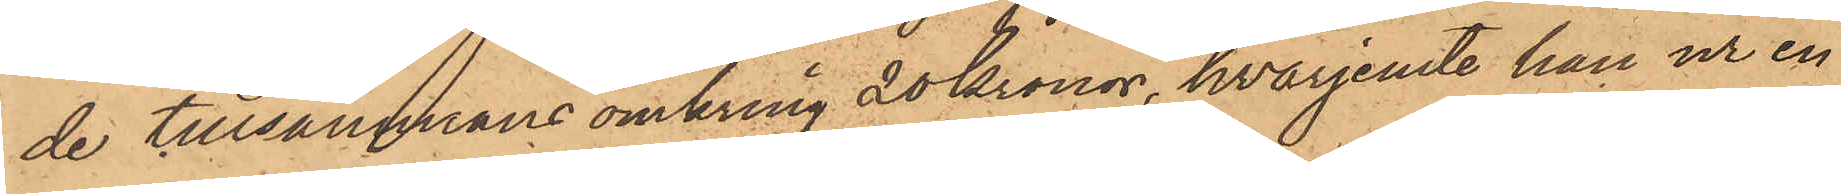de tillsammans omkring 20 Kronor, hvarjemte han ur en
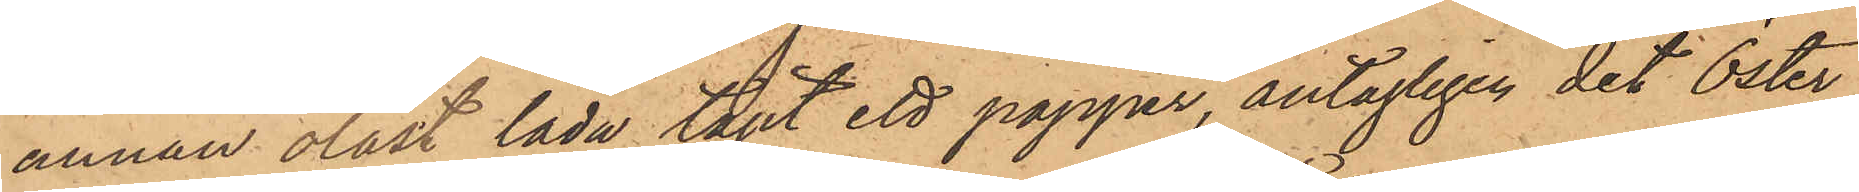annan olåst låda tagit ett papper, antagligen det Öster¬
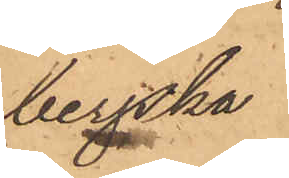bergska
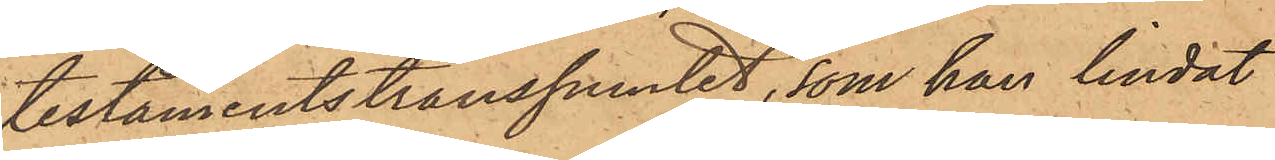testamentstranssumtet, som han lindat
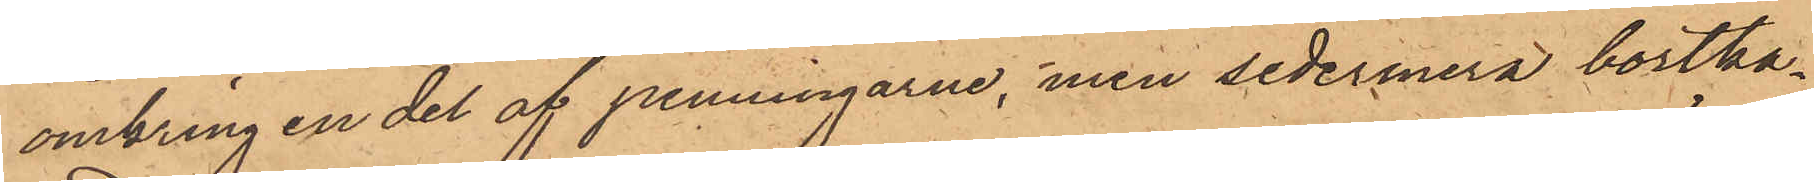omkring en del af penningarne, men sedermera bortka¬
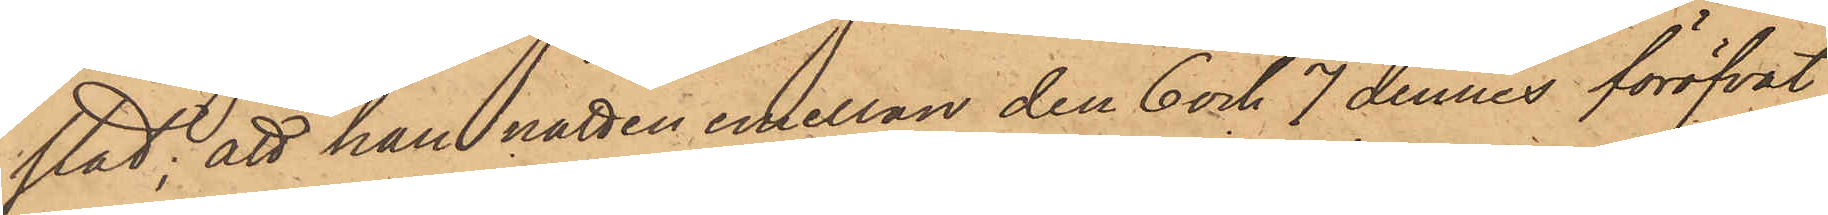stat; att han natten emellan den 6 och 7 dennes föröfvat
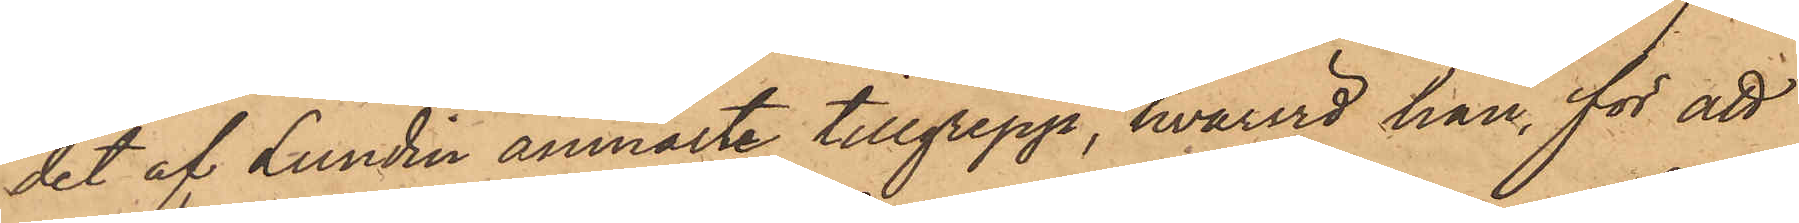det af Lundin anmälte tillgrepp, hvarvid han, för att
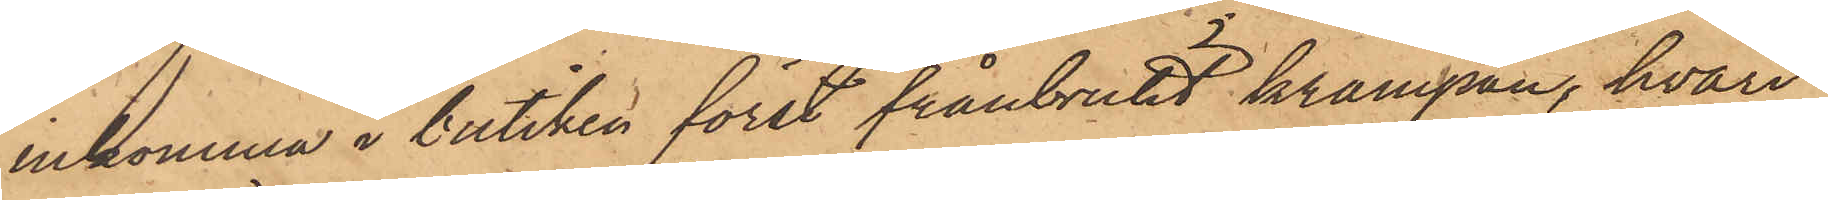inkomma i butiken först frånbrutit krampan, hvari¬
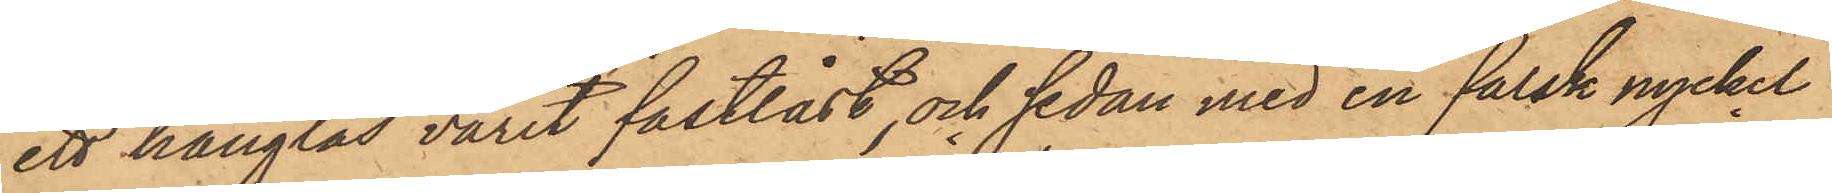ett hänglås varit fastlåst, och sedan med en falsk nyckel
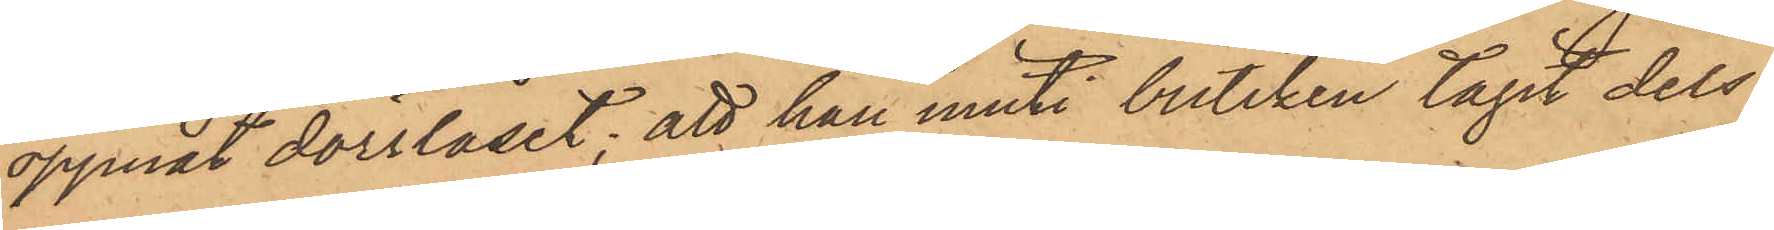öppnat dörrlåset; att han inuti butiken tagit dels
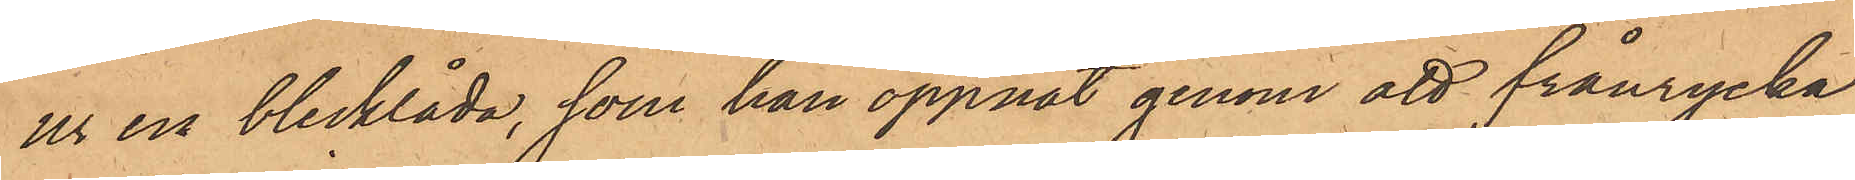ur en blecklåda, som han öppnat genom att frånrycka
